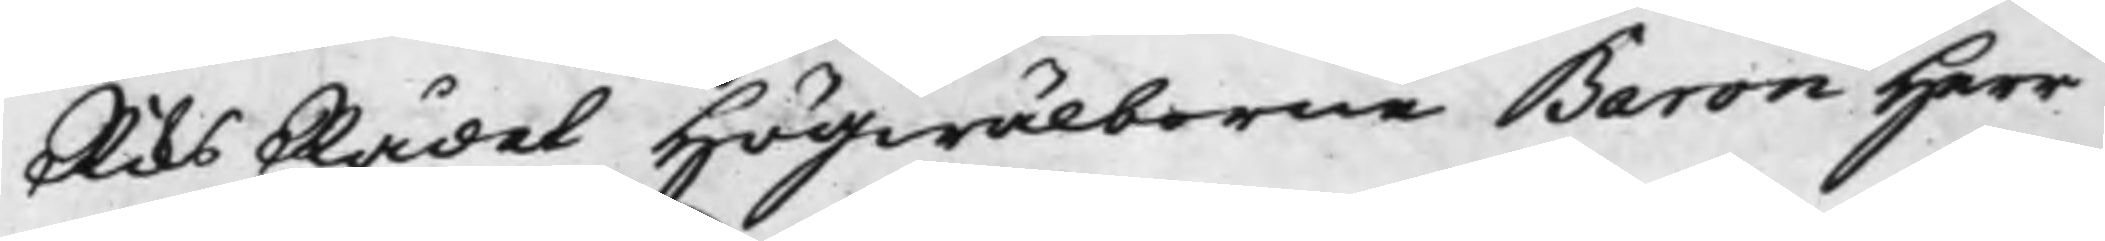RiksRådet Högwälborne Baron Herr
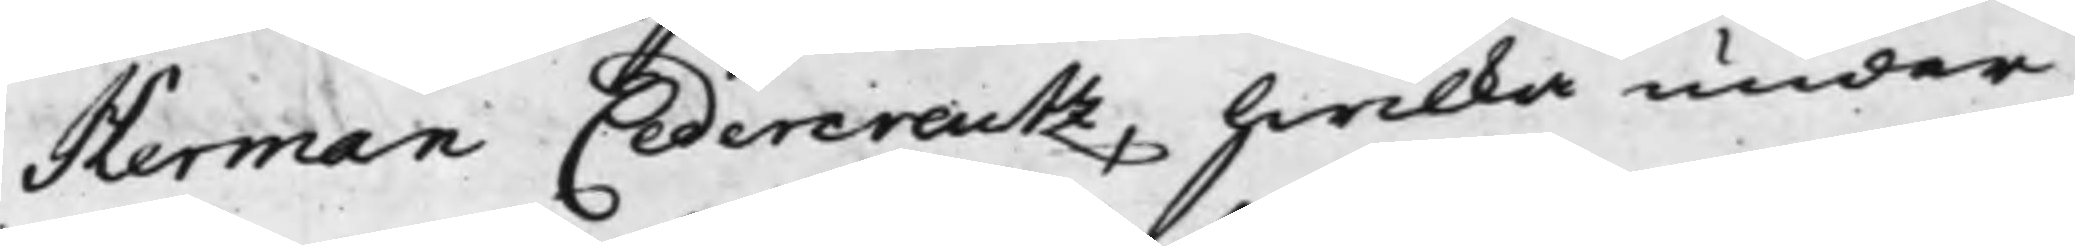Herman Cedercreutz, hwilka under
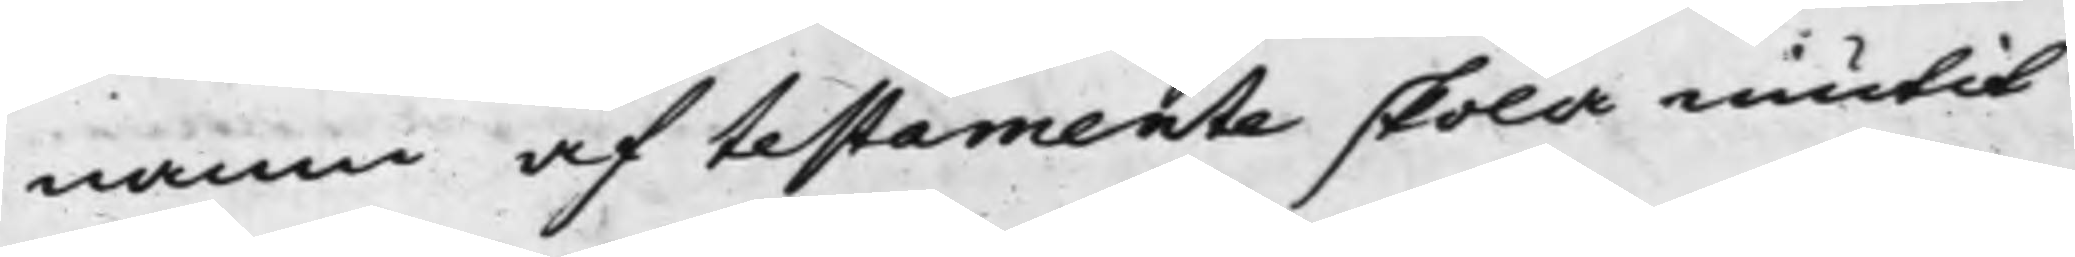namn af testamente skola niutit
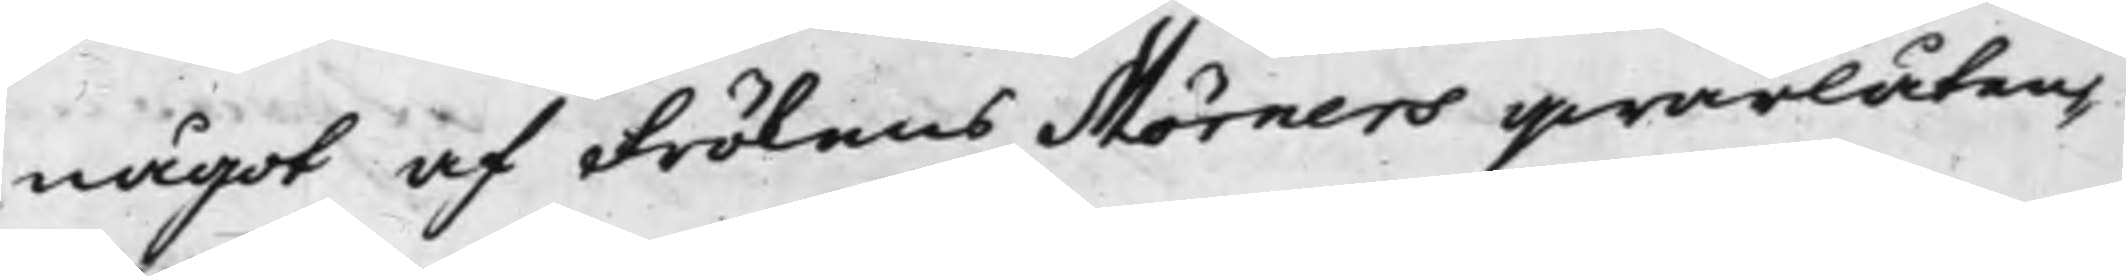något af Frökens Mörners qwarlåten¬
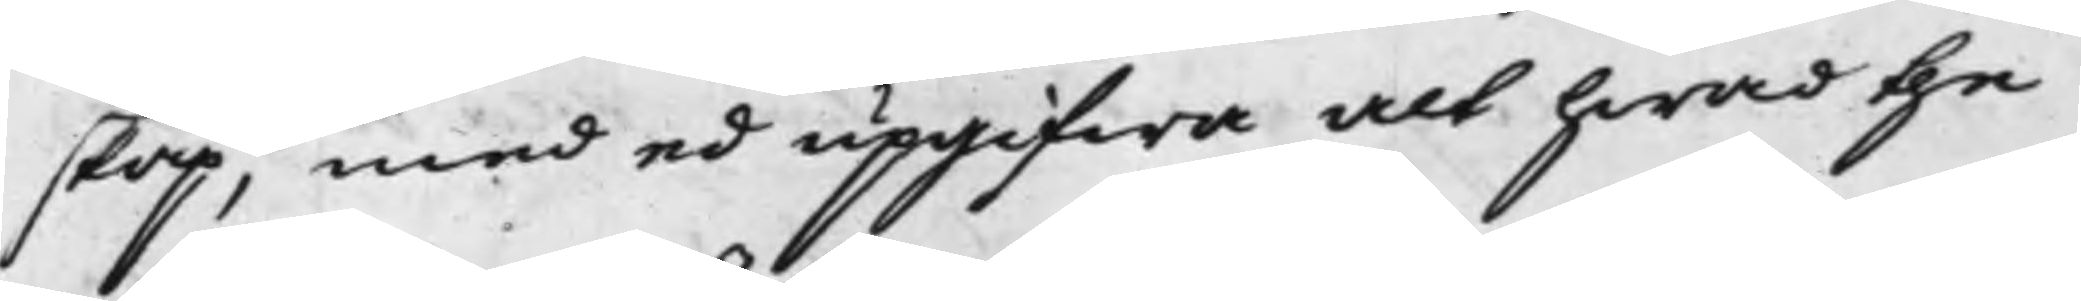skap, med ed upgifwa alt hwad the
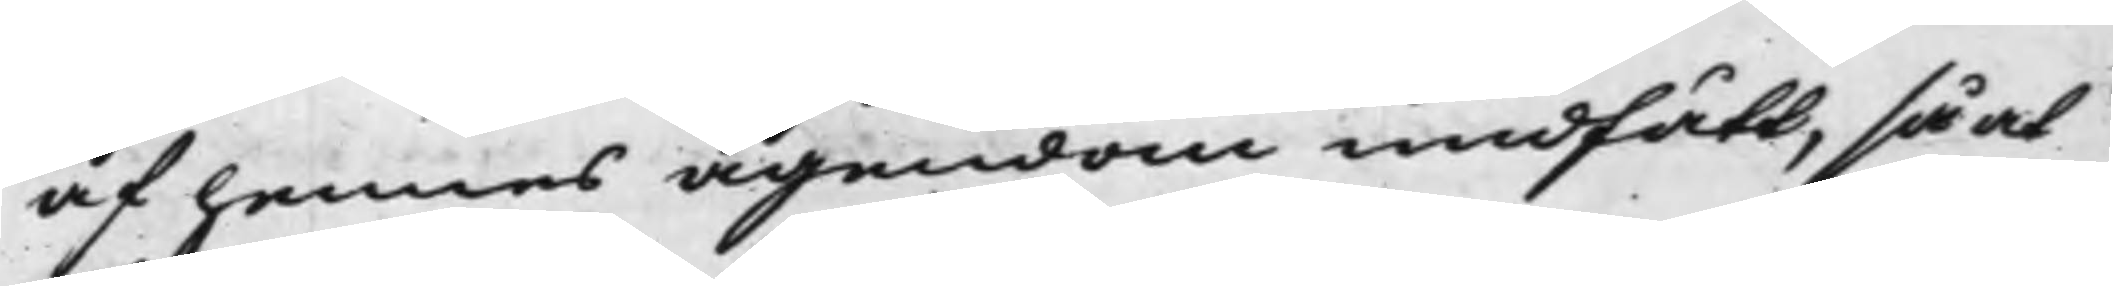af hennes ägendom undfått, så at
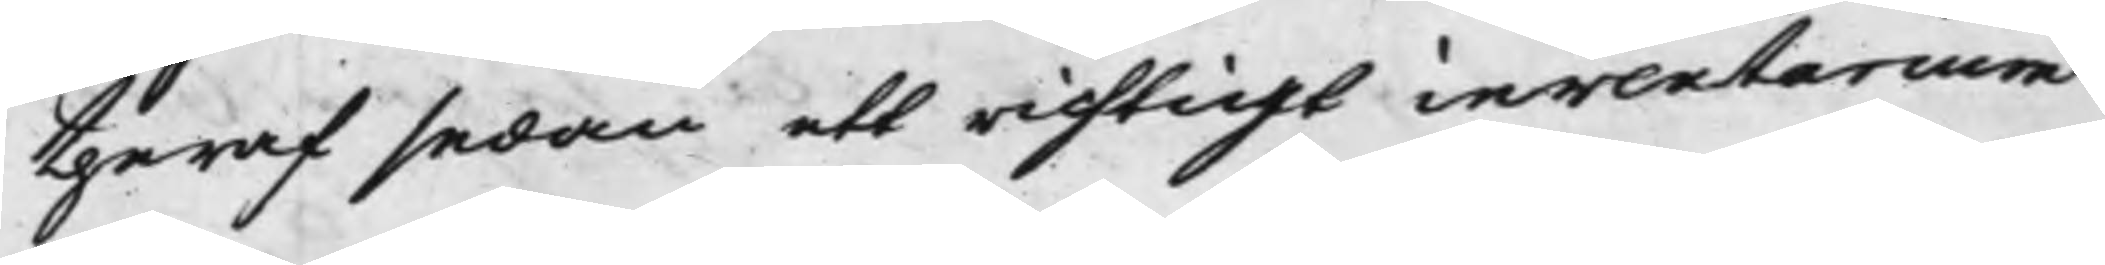theraf sedan ett richtigt inventarium
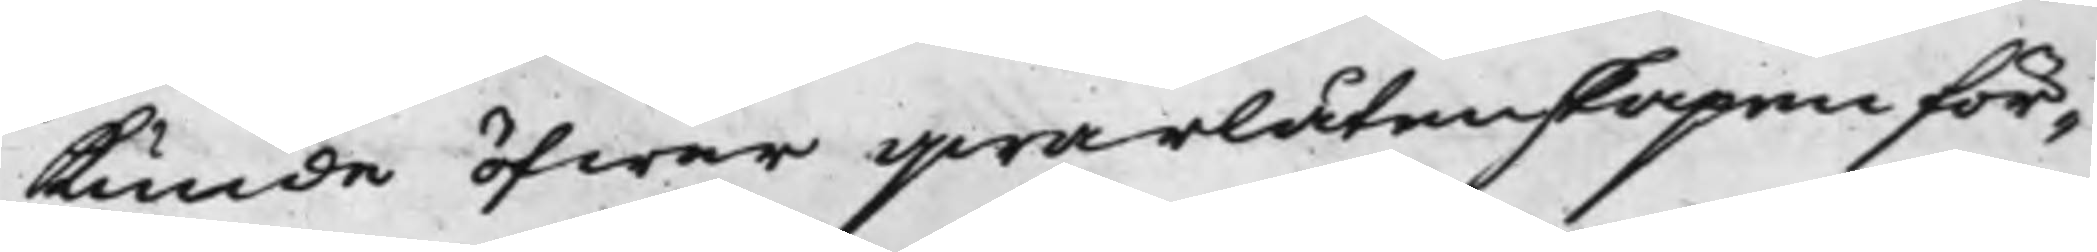kunde öfwer qwarlåtenskapen för¬
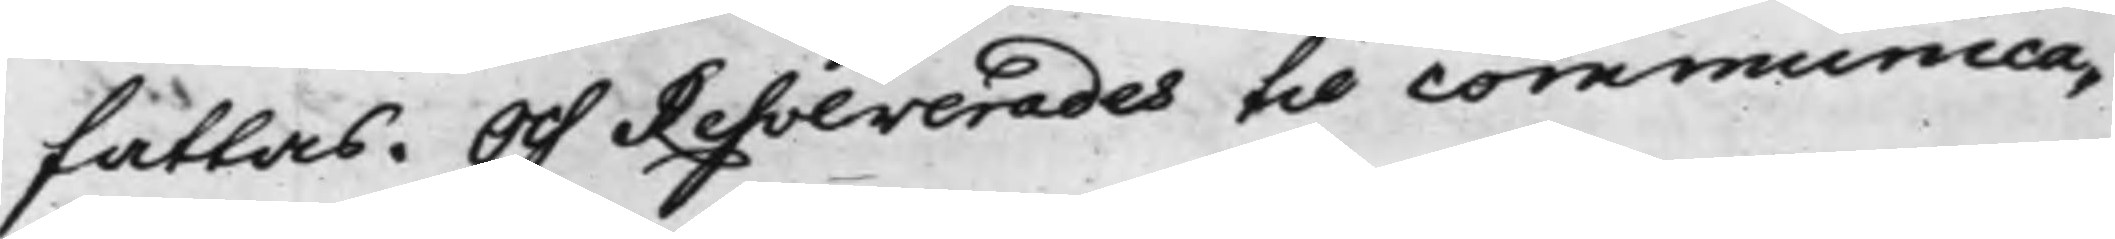fattas. Och Resolverades til communica¬
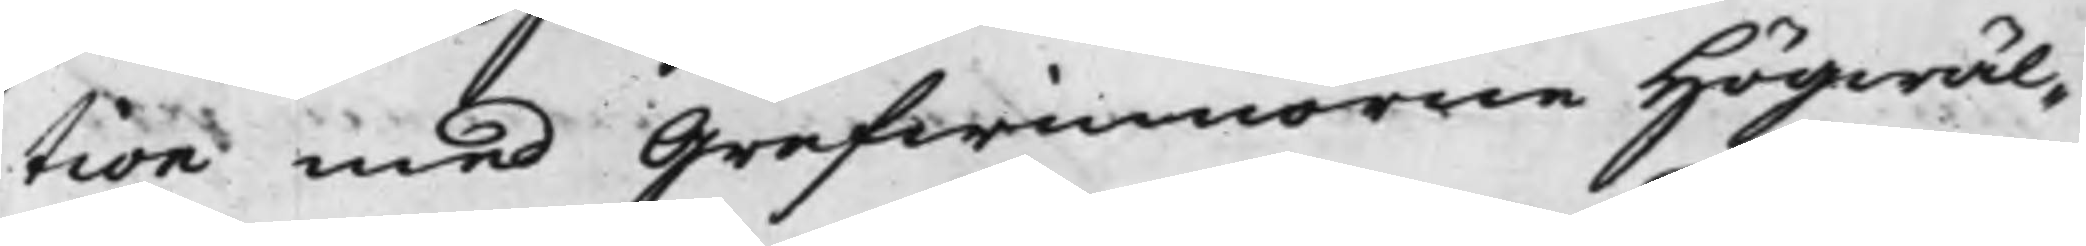tion med Grefwinnan Högwäl¬
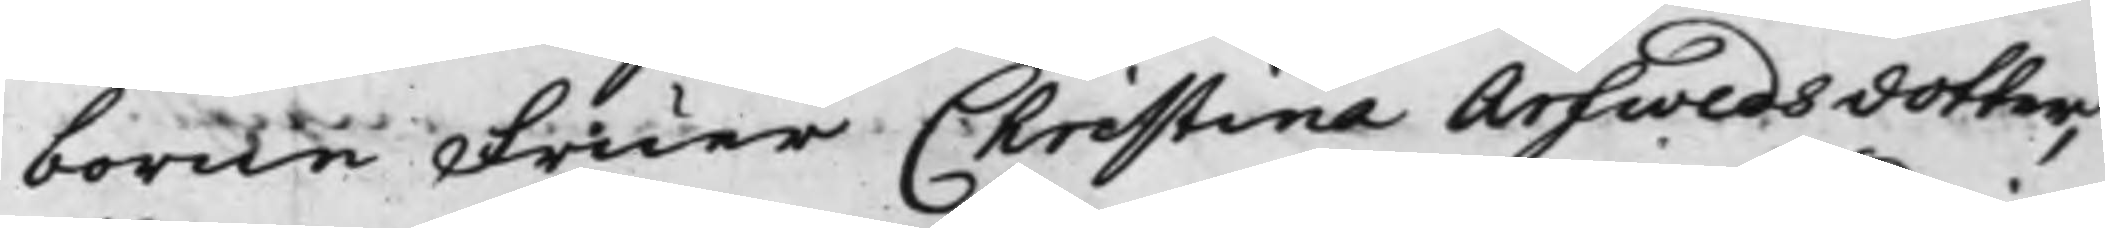borne Fruer Christina Arfwedsdotter,
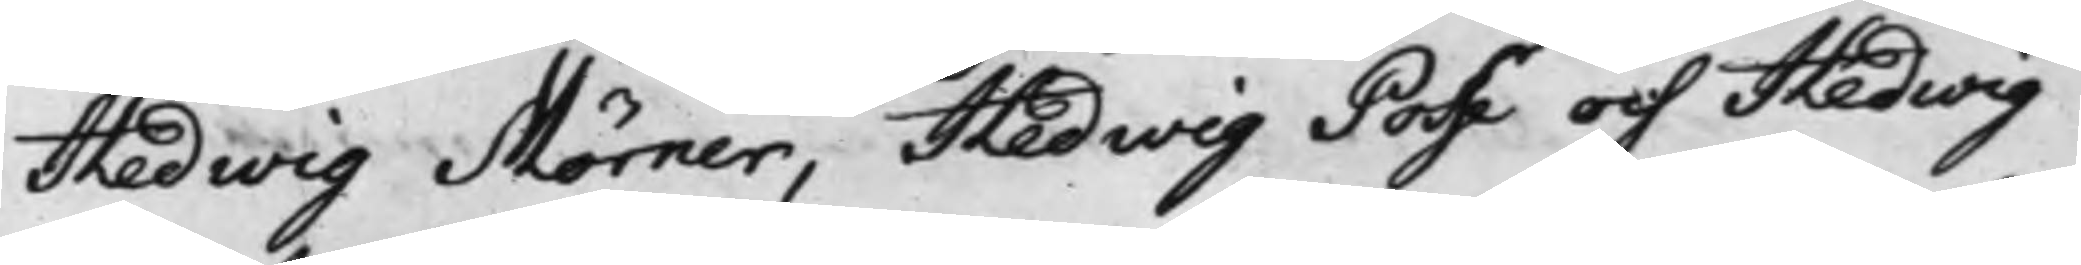Hedwig Mörner, Hedwig Posse och Hedwig
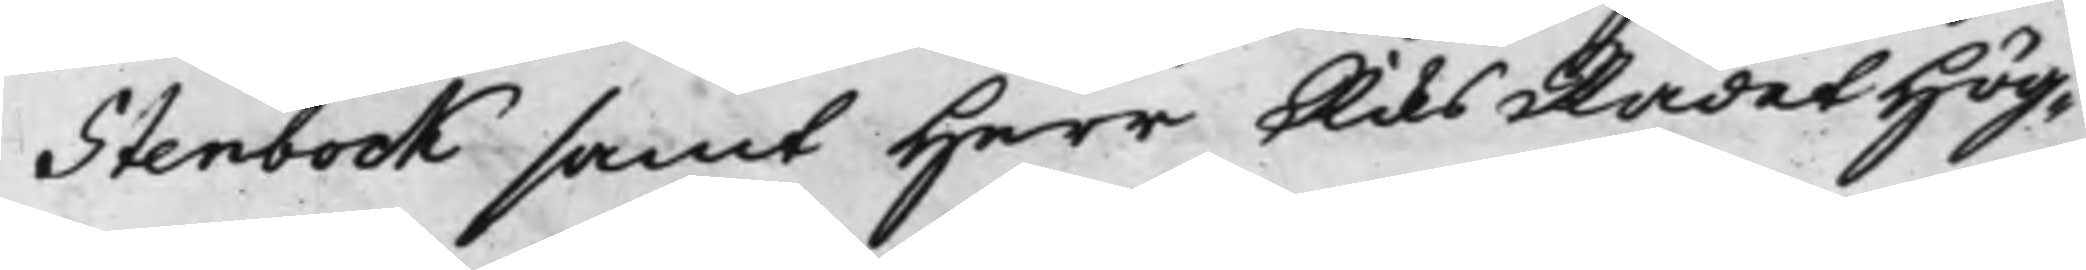Stenbock samt Herr RiksRådet Hög¬
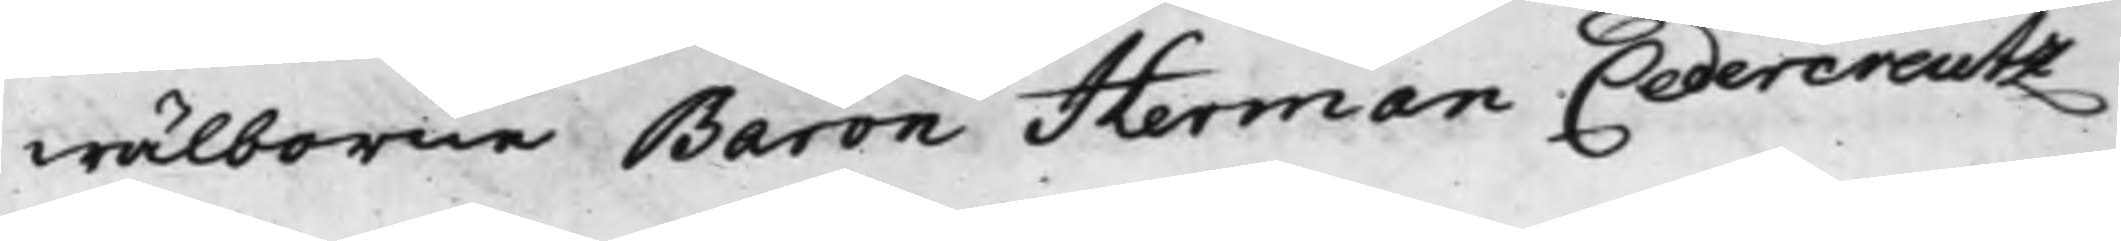wälborne Baron Herman Cedercreutz
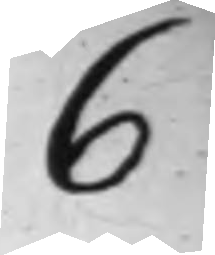6
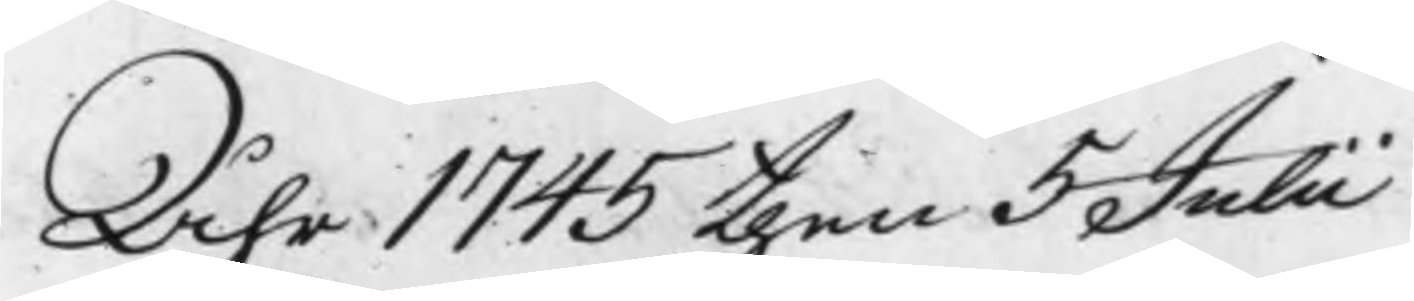Åhr 1745 then 5 Julii
